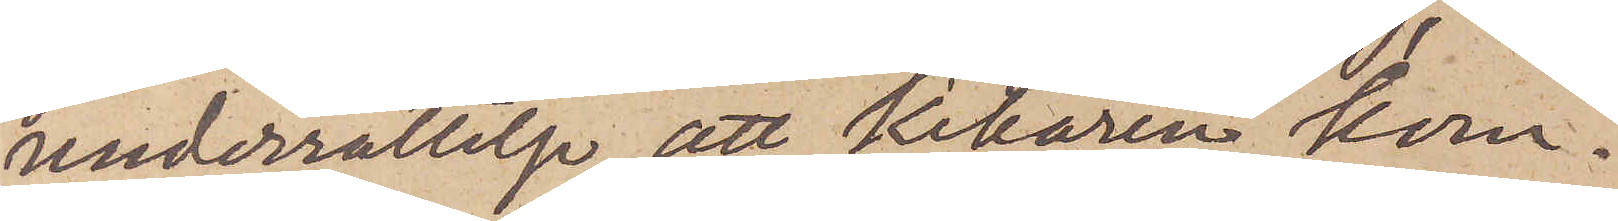underrättelse att Kikaren kom¬
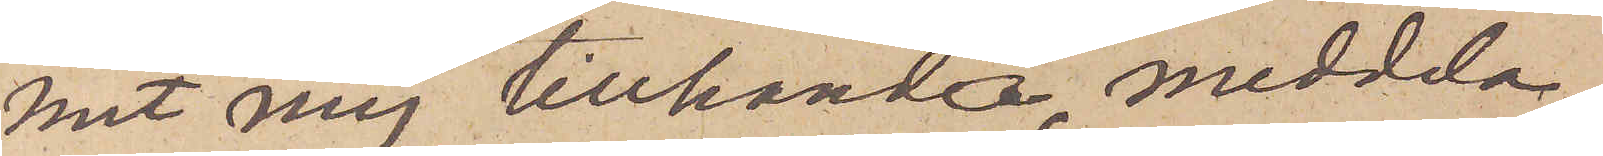mit mig tillhanda, meddela,
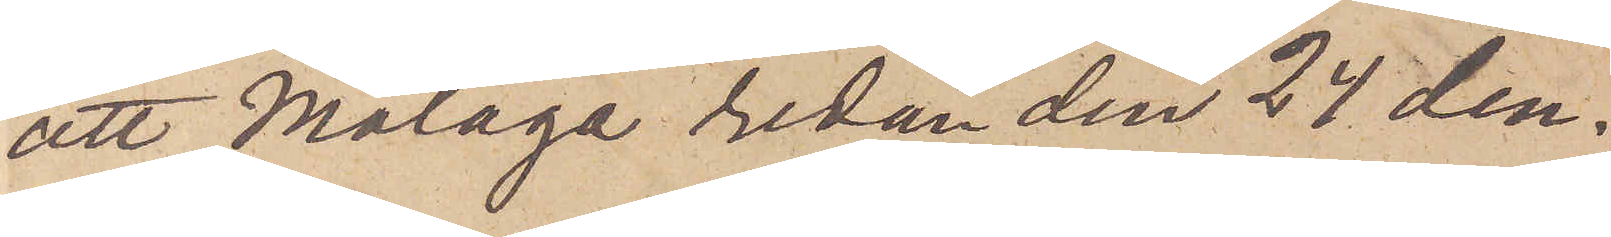att Malaga redan den 24 den¬
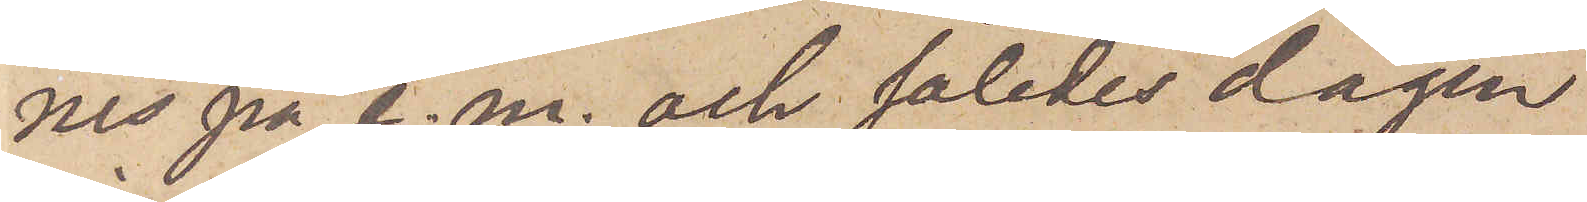nes på e. m. och således dagen
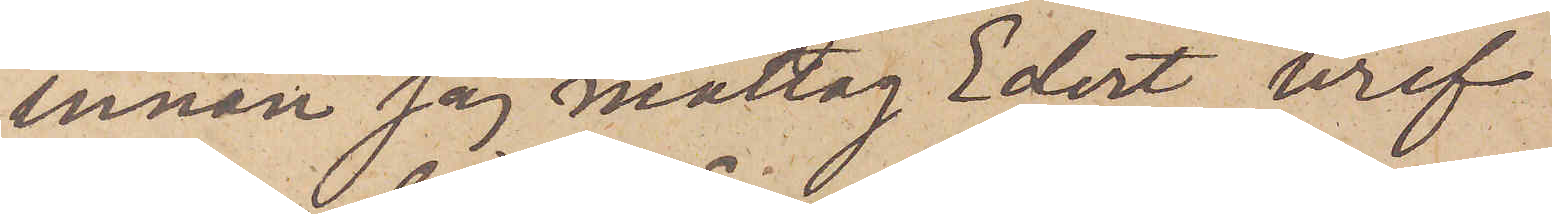innan jag mottog Edert bref
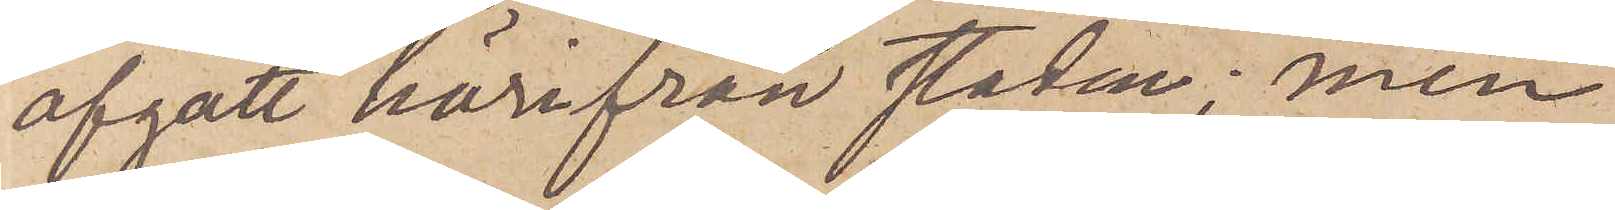afgått härifrån staden; men
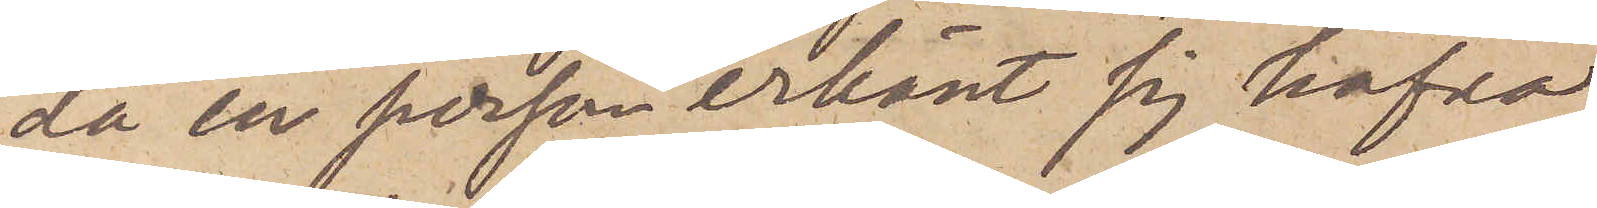då en person erkänt sig hafva
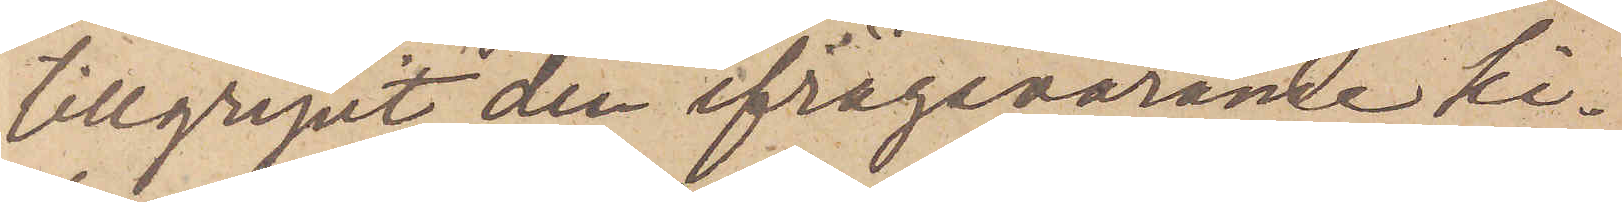tillgripit den ifrågavarande ki¬
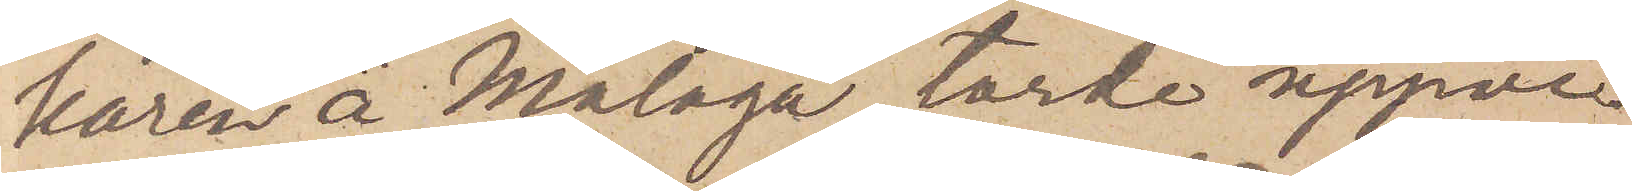karen å Malaga torde uppvi¬
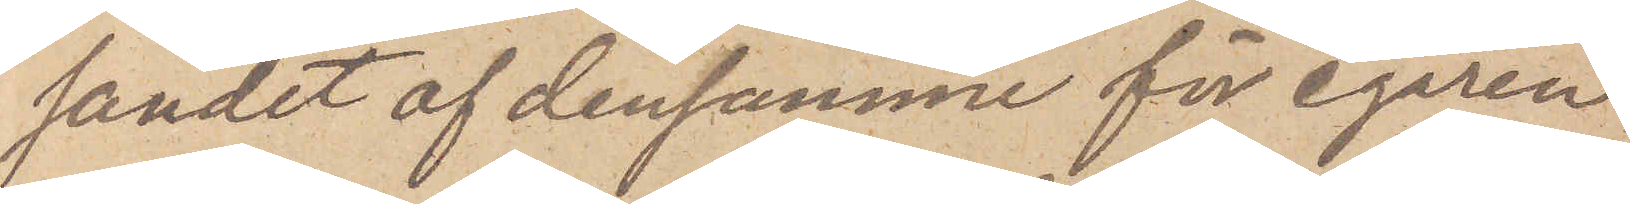sandet af densamme för egaren
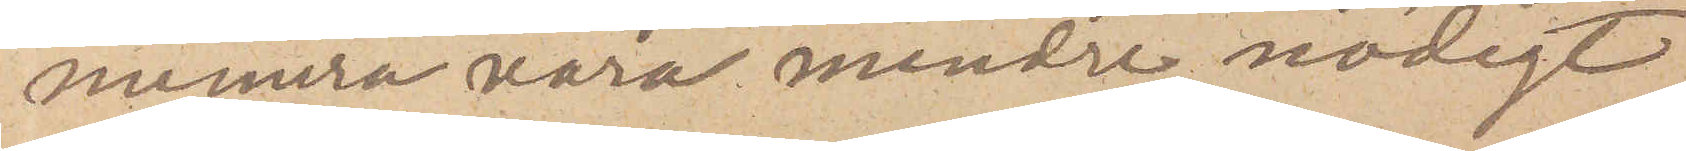numera vara mindre nödigt.
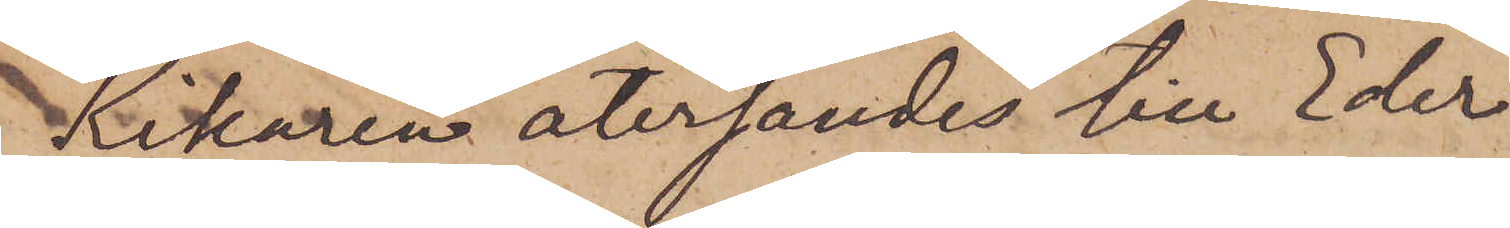Kikaren återsändes till Eder
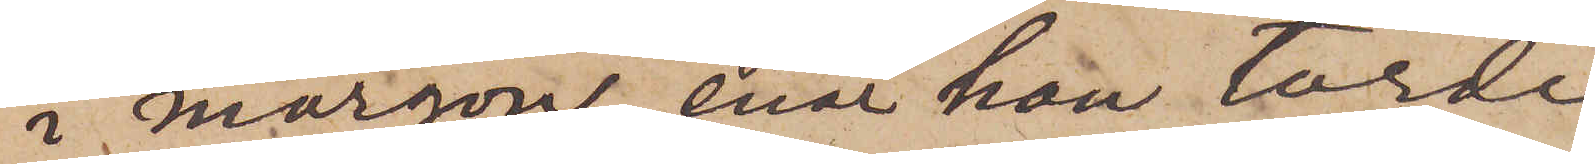i morgon, enär hon torde
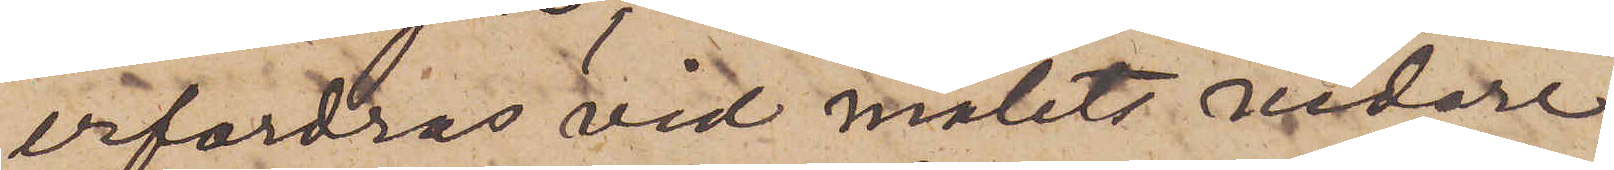erfordras vid målets vidare
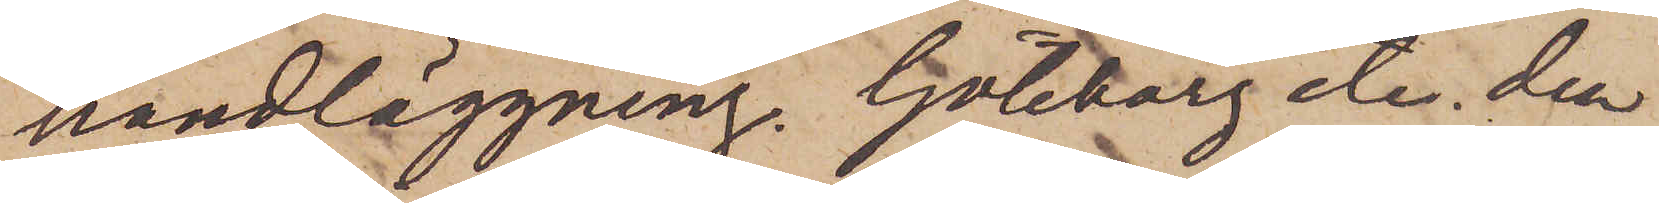handläggning. Göteborg etc. den
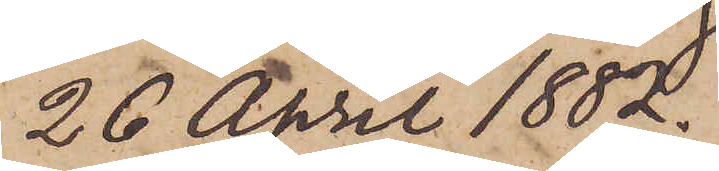26 April 1882.
